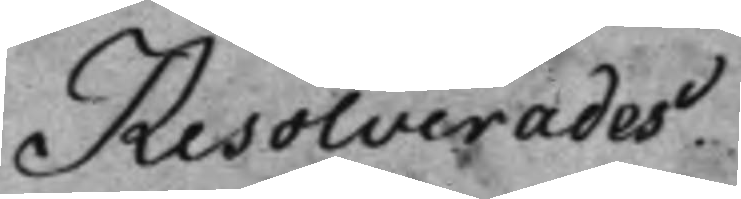Resolverades.
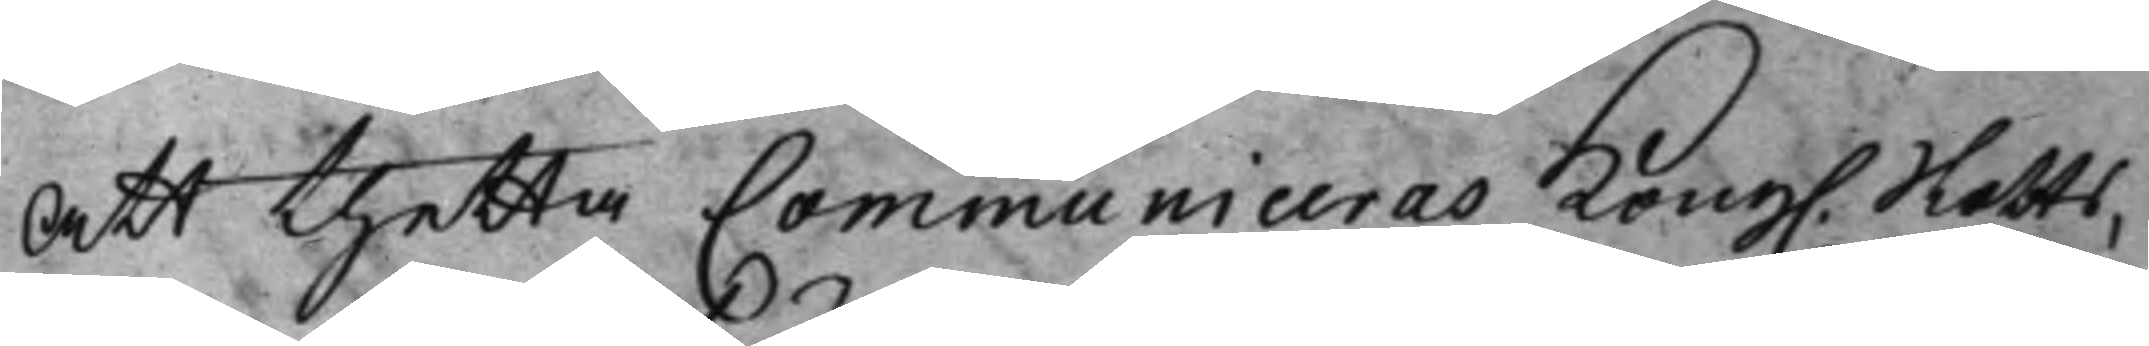Att thetta Communiceras Kong. Slotts¬
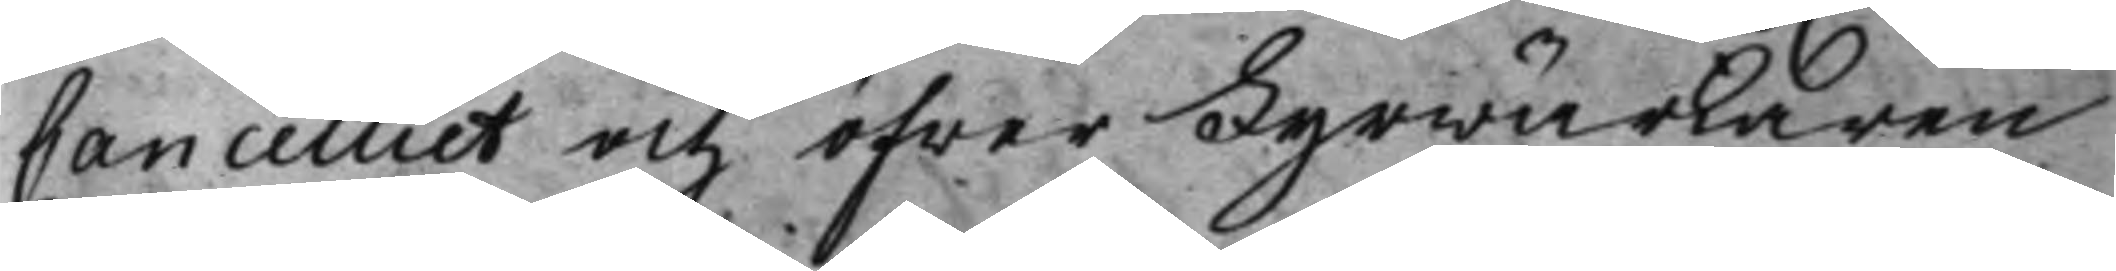Cancelliet och öfwerFyrwärkaren
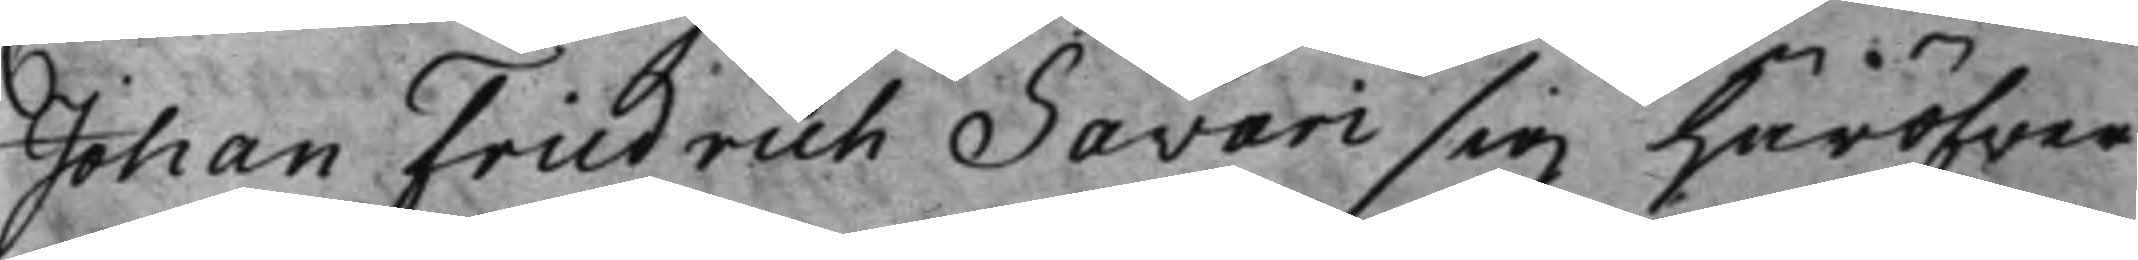Johan Friedrich Savari sig häröfwer
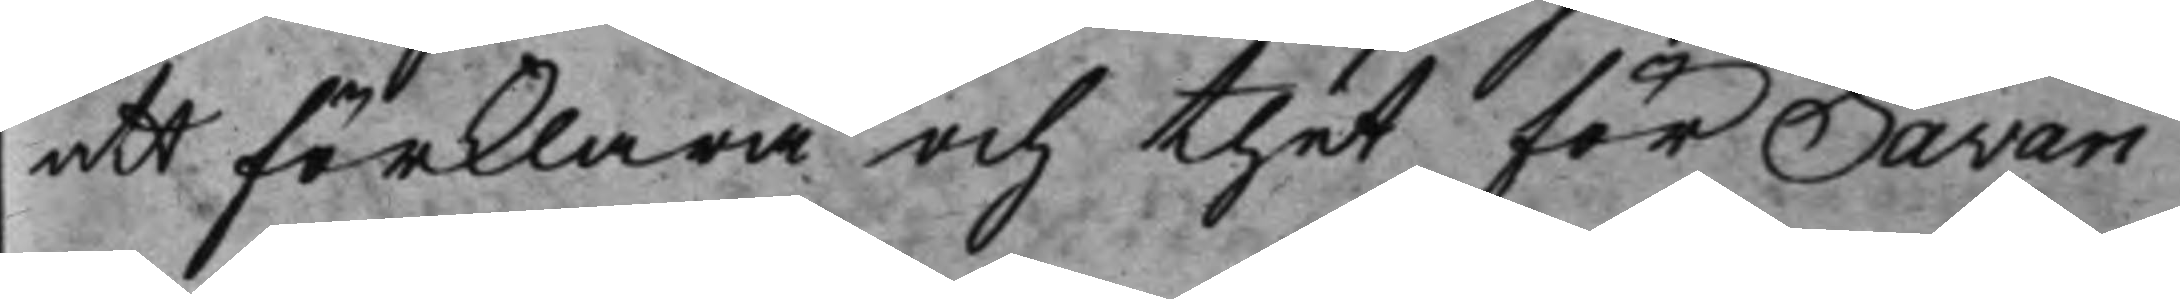att förklara och thet för Savari
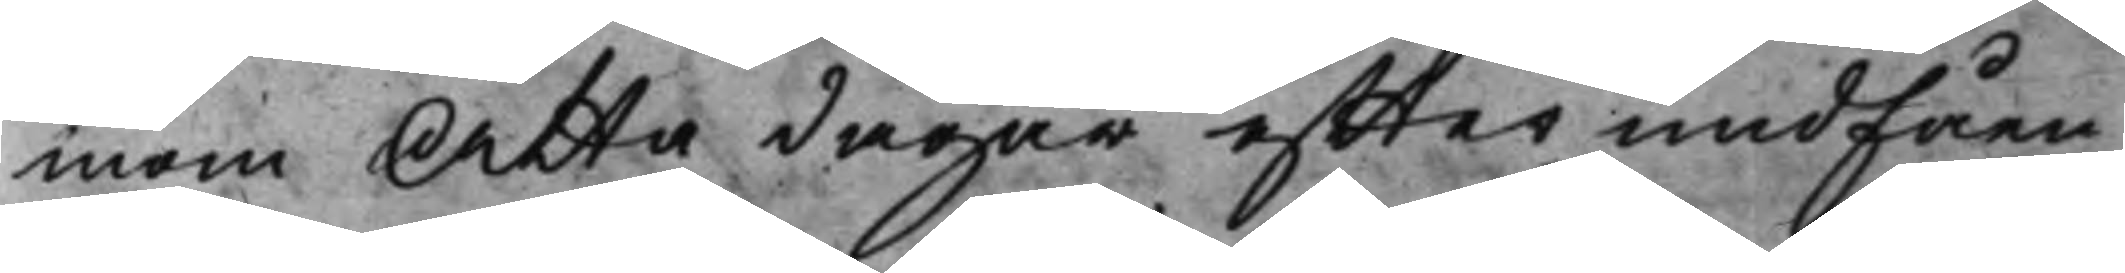inom Åtta dagar effter undfåen¬
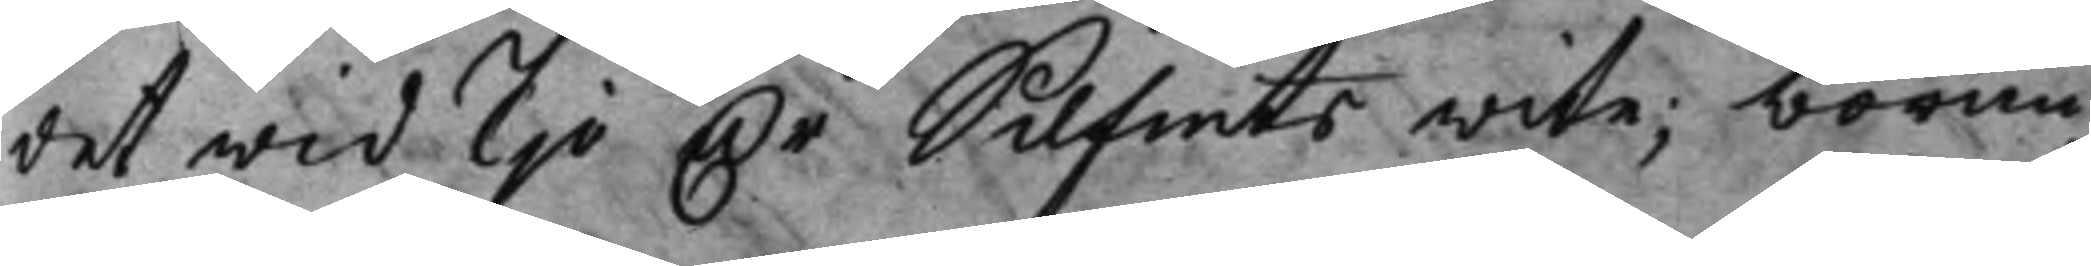det wid Tio Dr Silfmts wite; böran¬
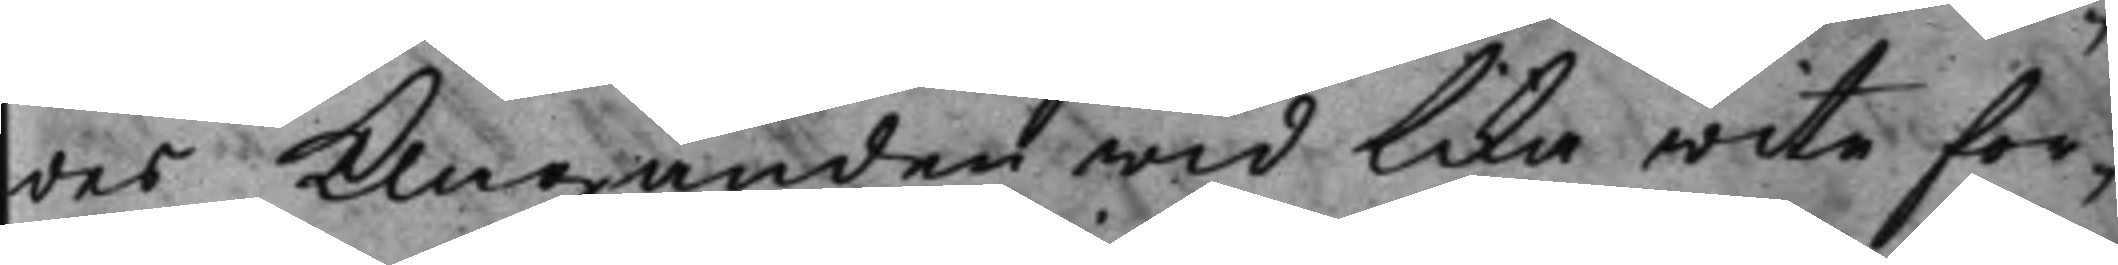des Klaganden wid lika wite for¬
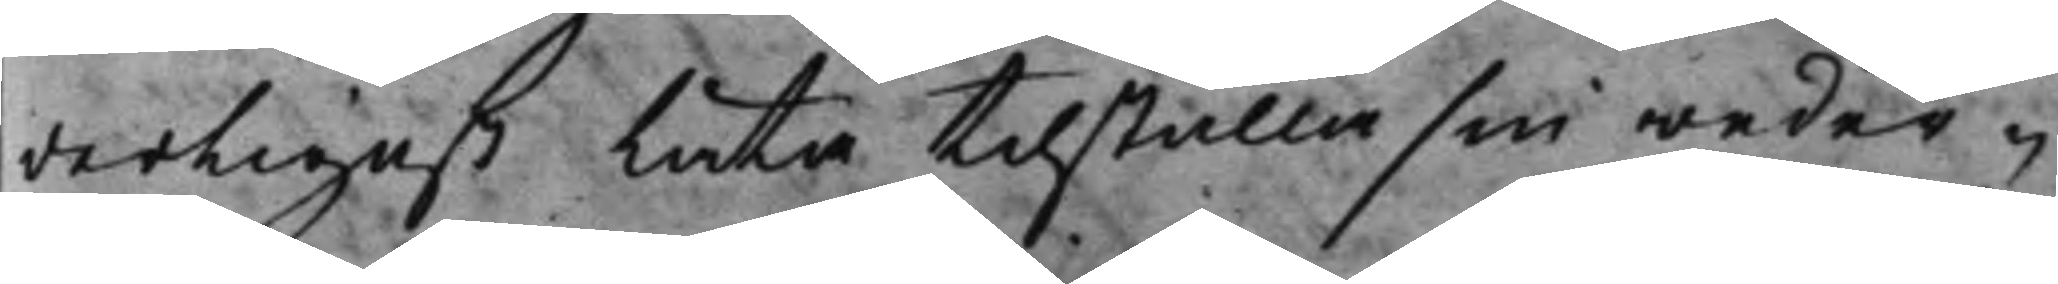derligast låta tilställa sin weder¬
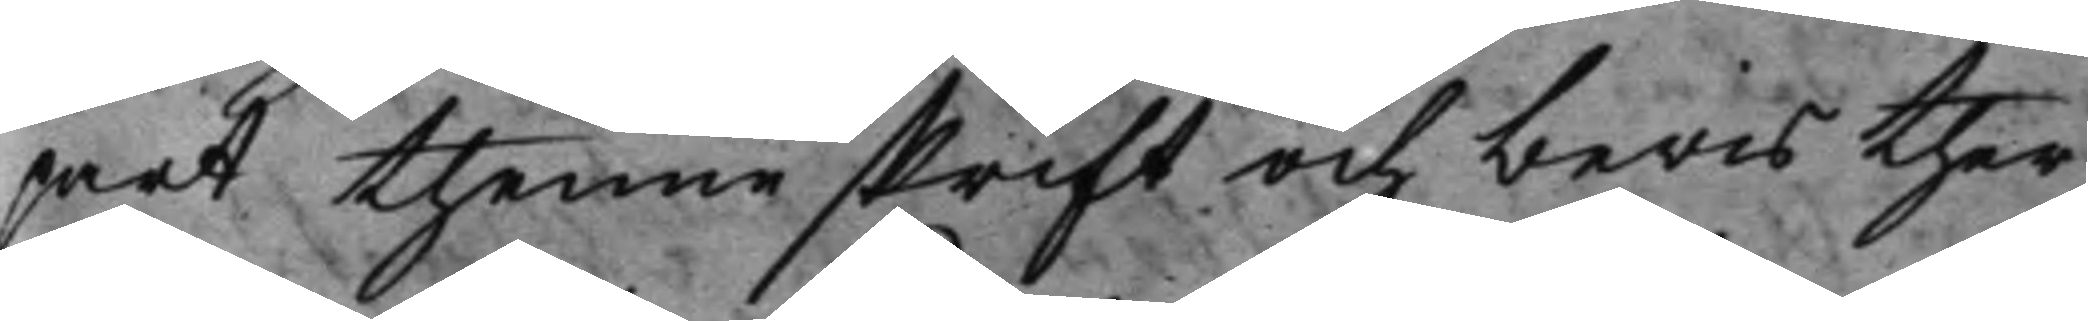part thenne skrift och bewis ther¬
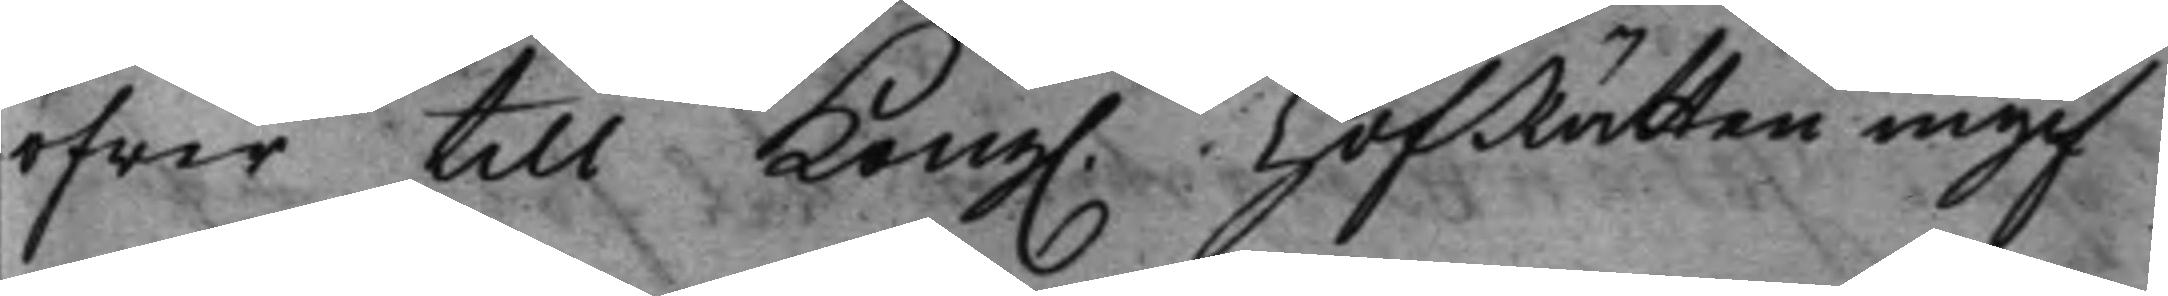öfwer till Kong. HofRätten ingif¬
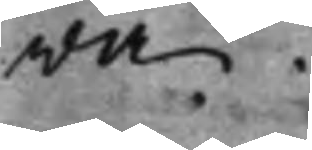wa.
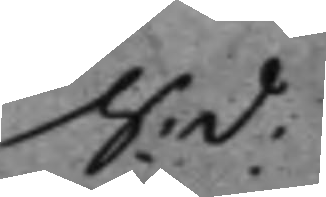S: d:
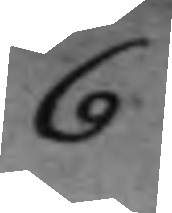6
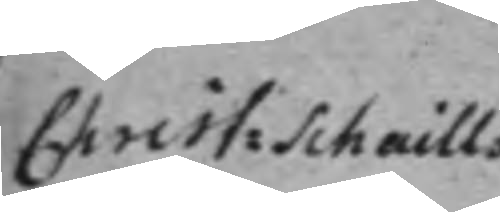Christ: Schaills 
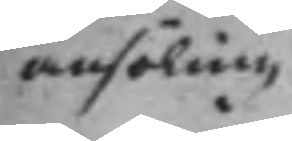ansökning.
